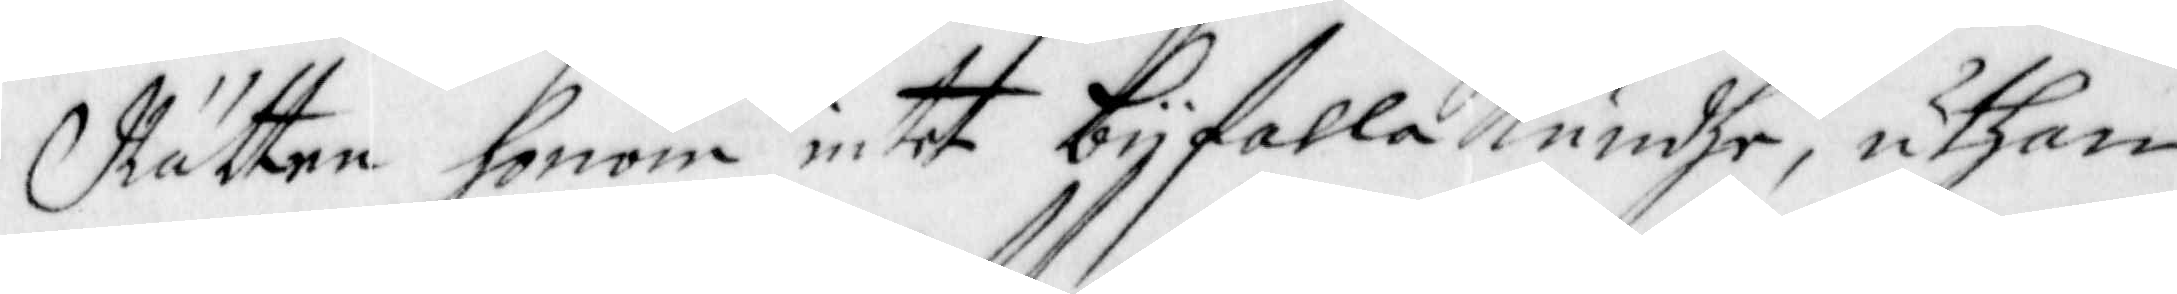Rätten honom intet bijfalla Kundhe, uthan
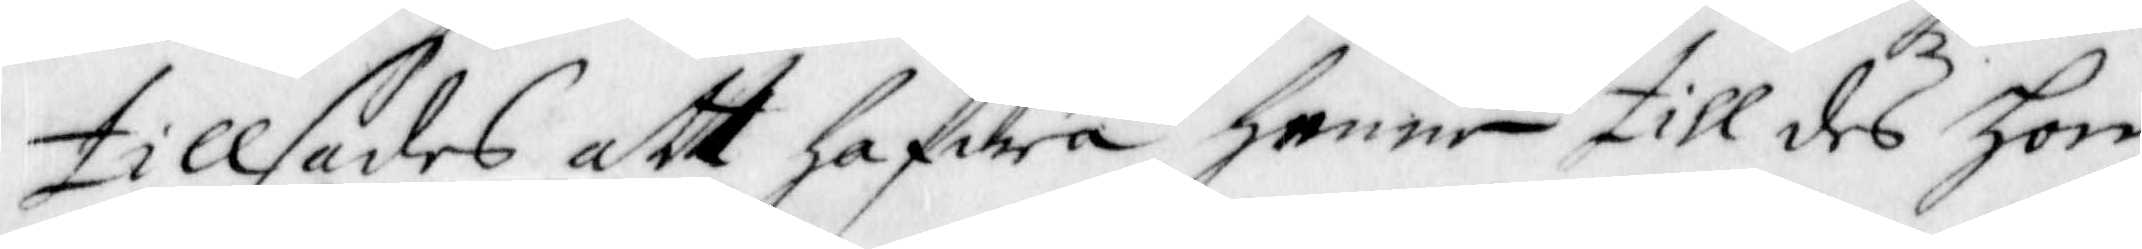tillsades att hafwa henne till des hon
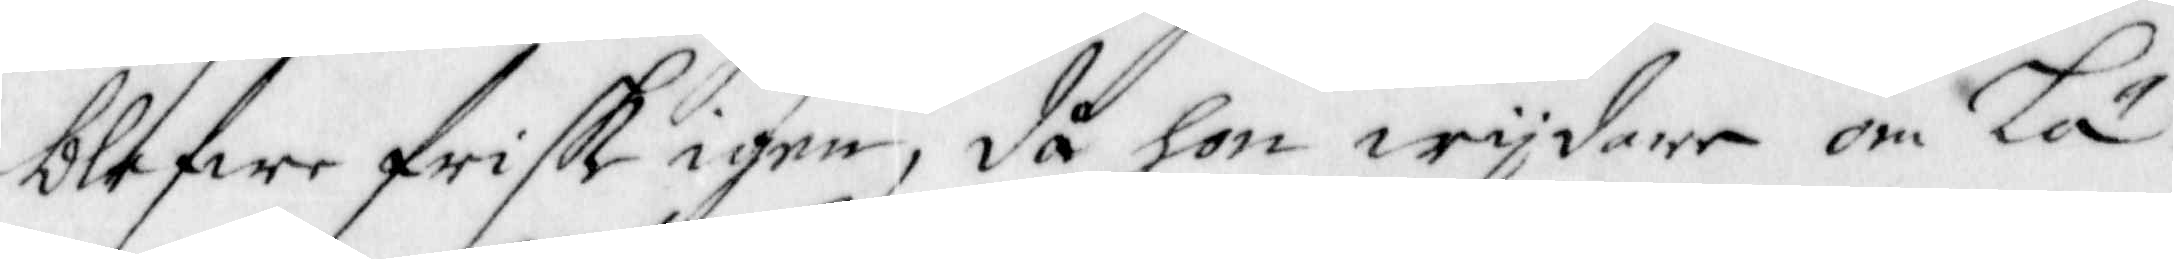blefwe frisk igen, då hon wijdare om Lä¬
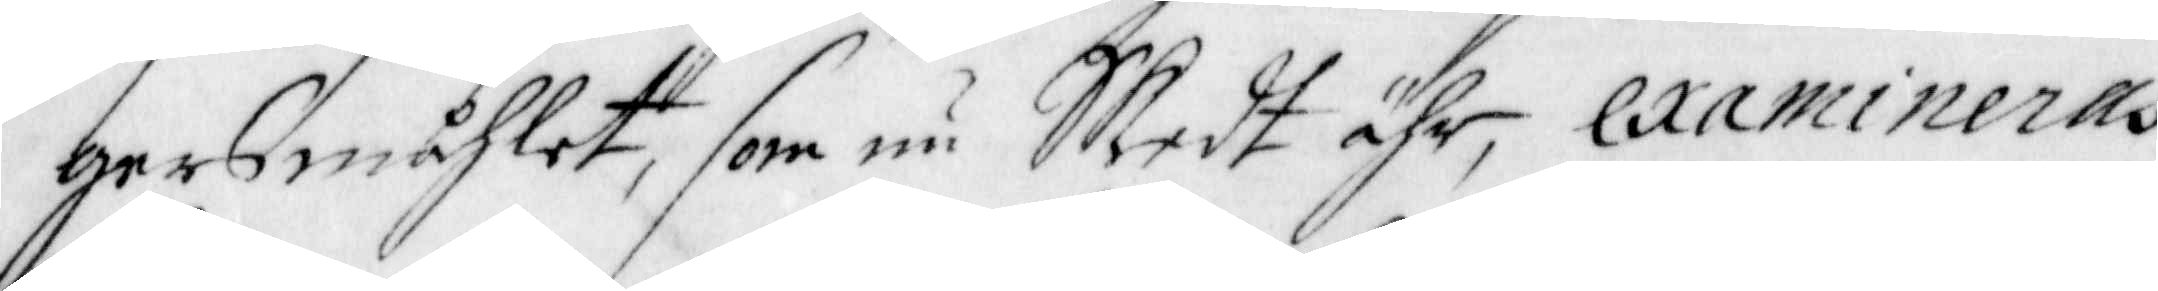gersmåhlet, som nu Skedt ähr, examineras
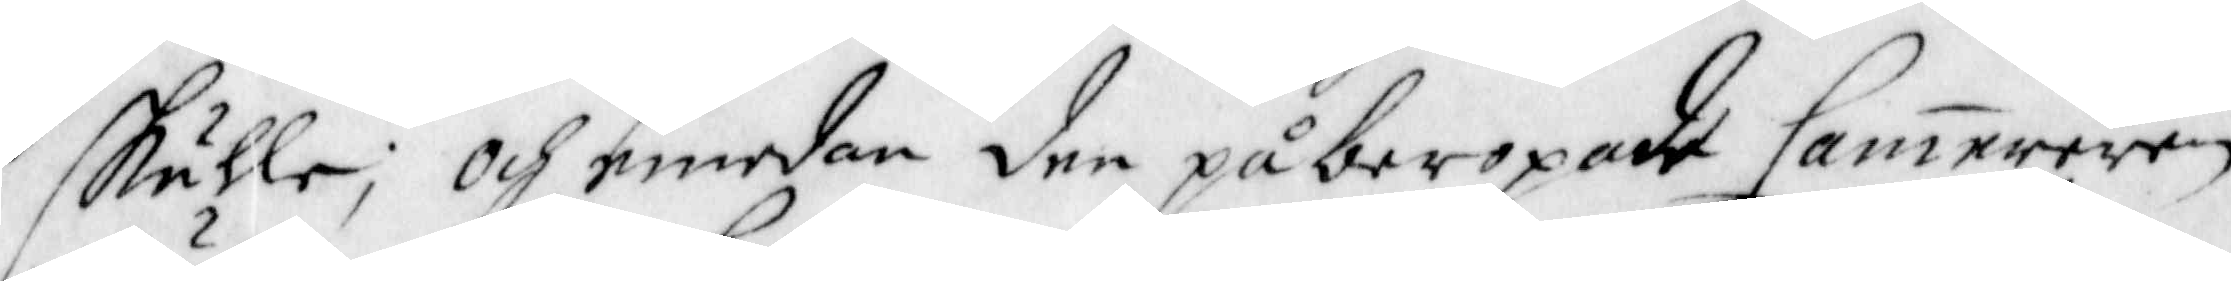skulle; Och emedan den påberopade Cammereren
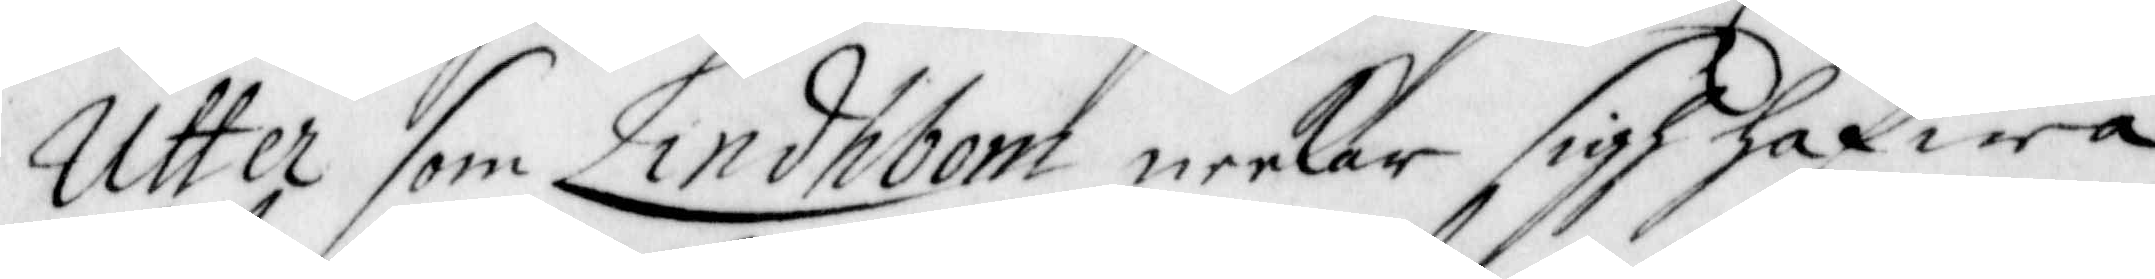Utter som Lindhbom neekar sigh hafwa
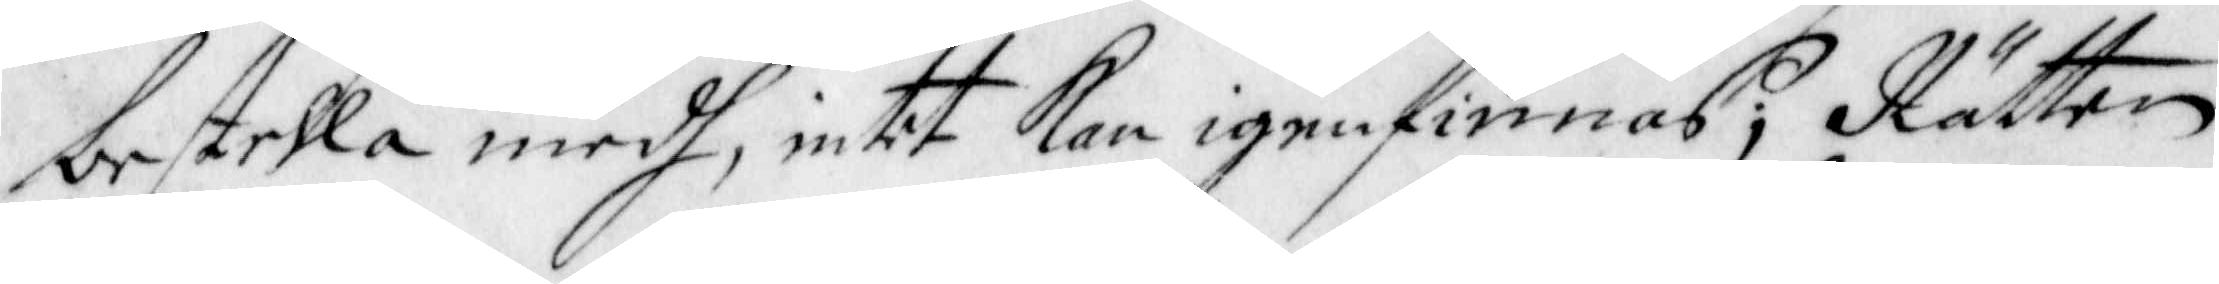bestella medh, intet Kan igenfinnas; Rätten
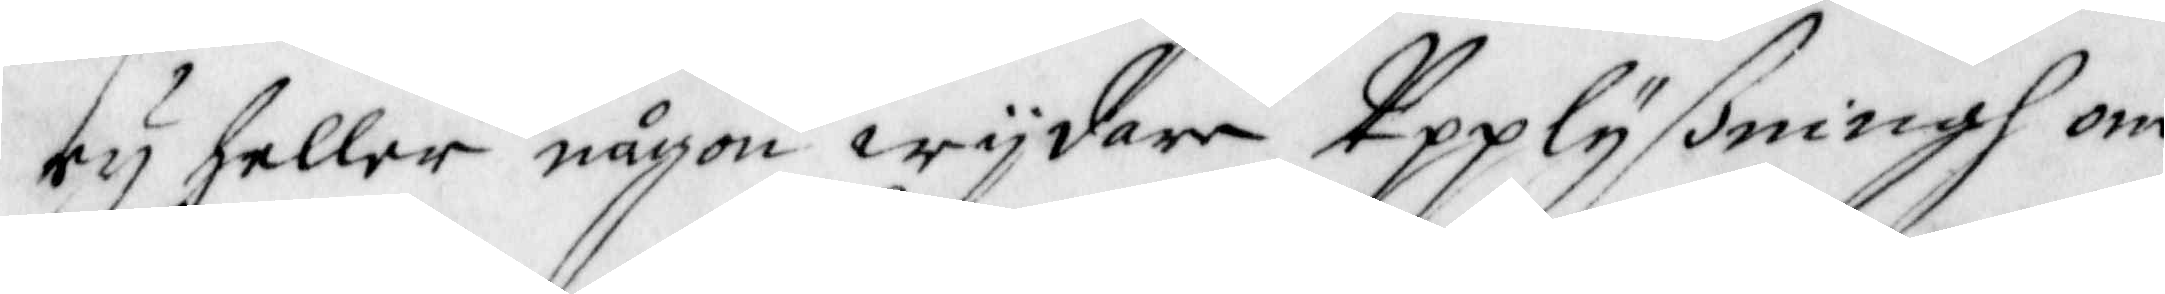ey heller någon wijdare Upplyßningh om
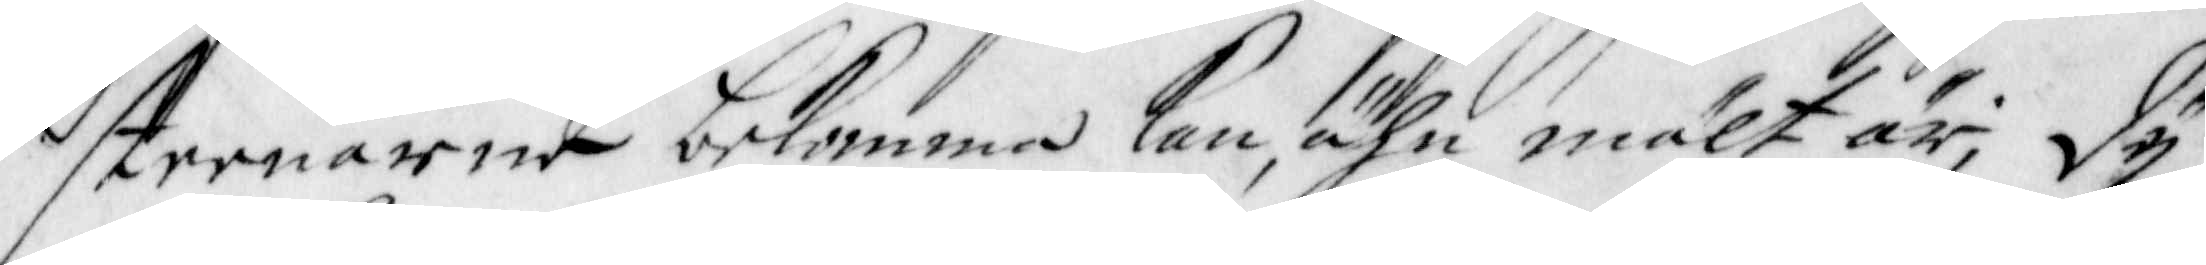steenarne bekomma kan, ähn mält är; Dy
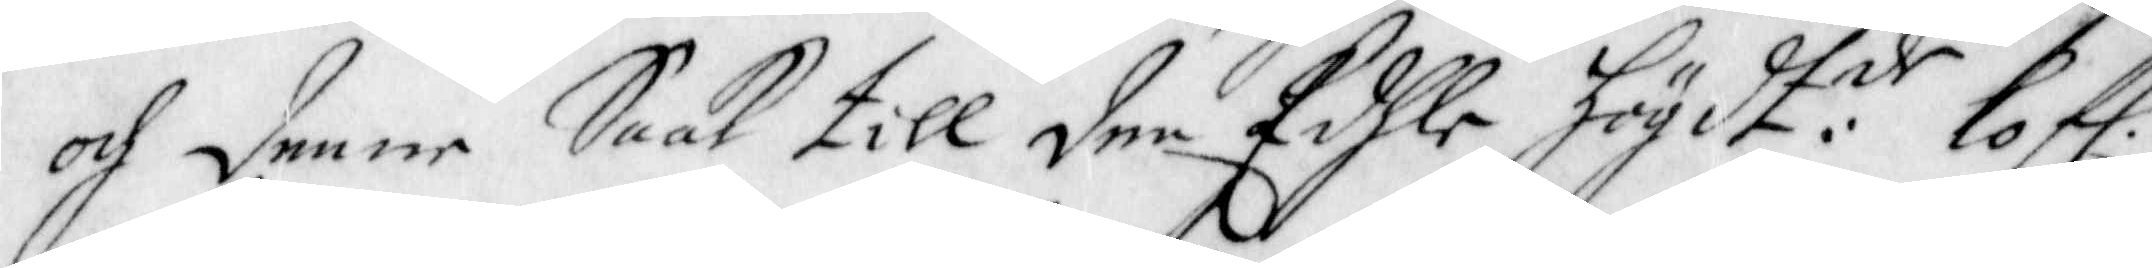och Denne Saak till den Edhle högdt:de lof.
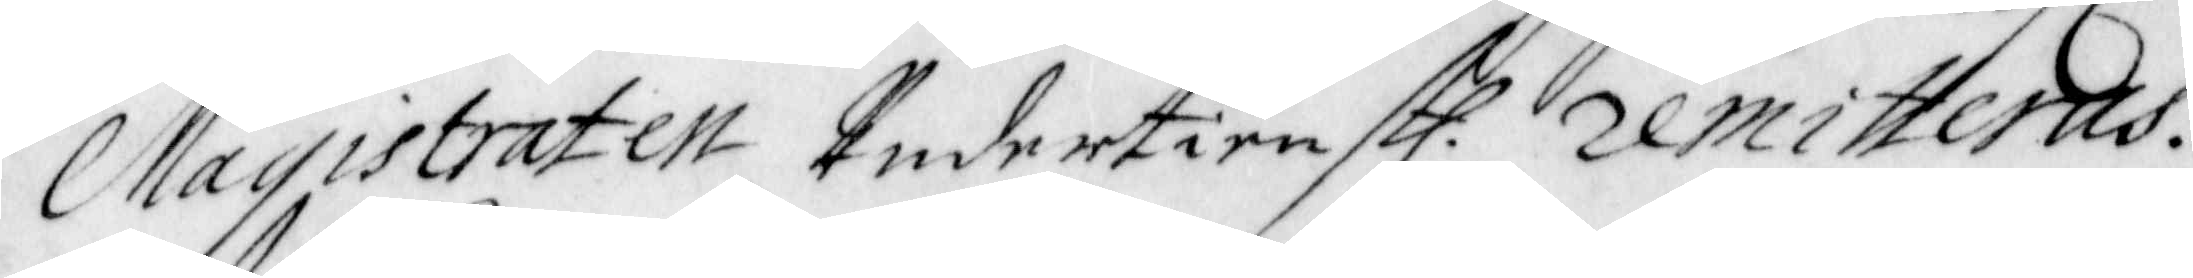Magistraten Undertienst. remitteras.
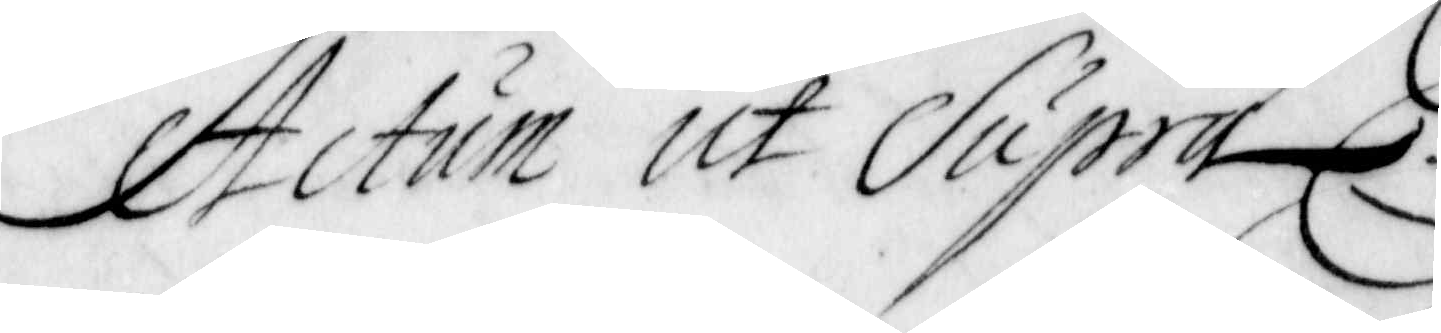Actum ut Supra.
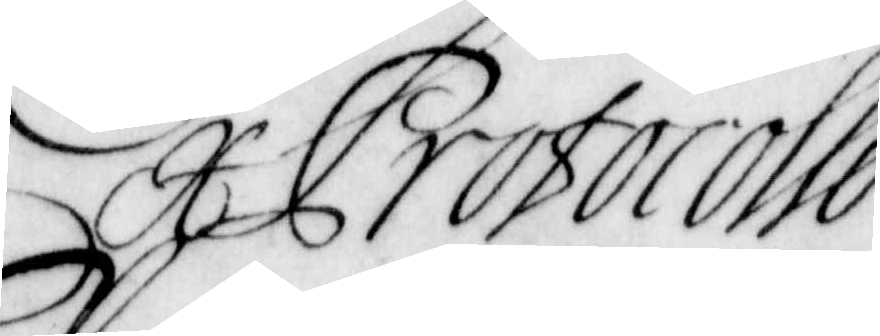Ex Protocollo
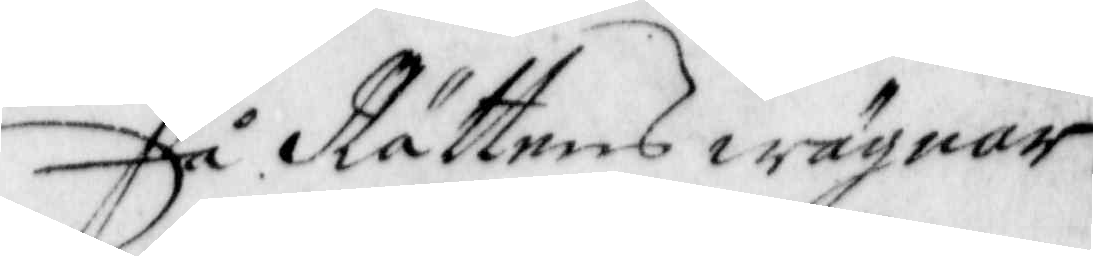På Rättens wägnar
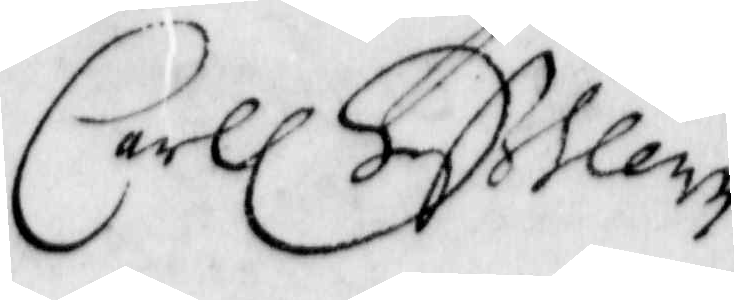Carl. S
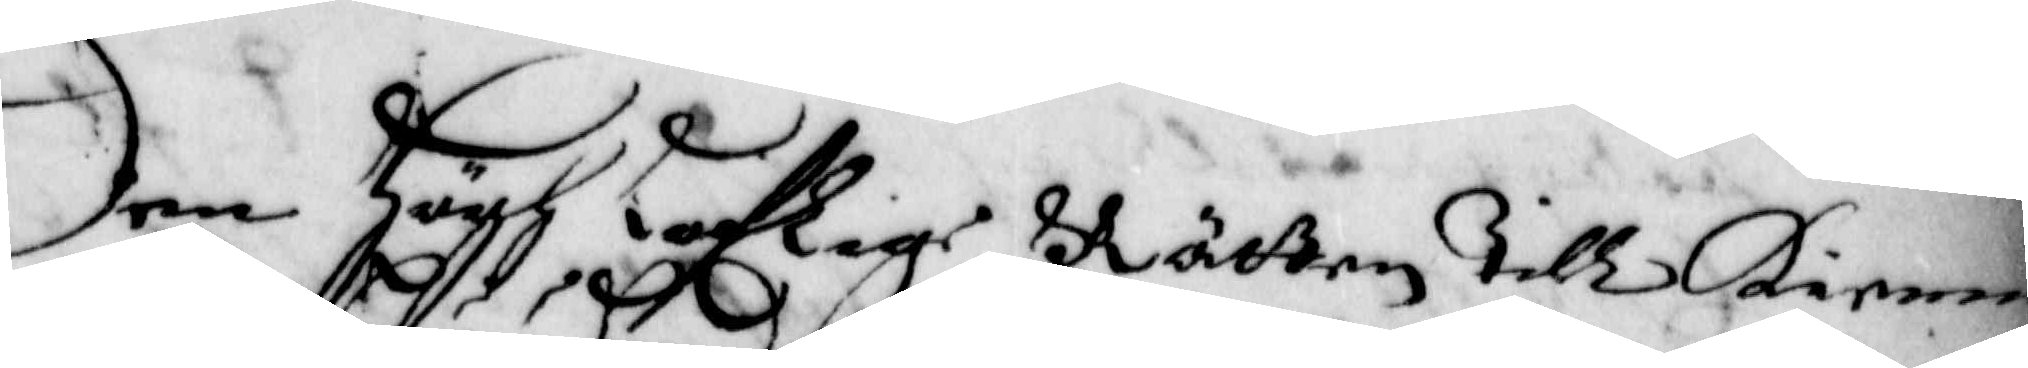Den Högh Loflige Rätten Till Kienne¬
